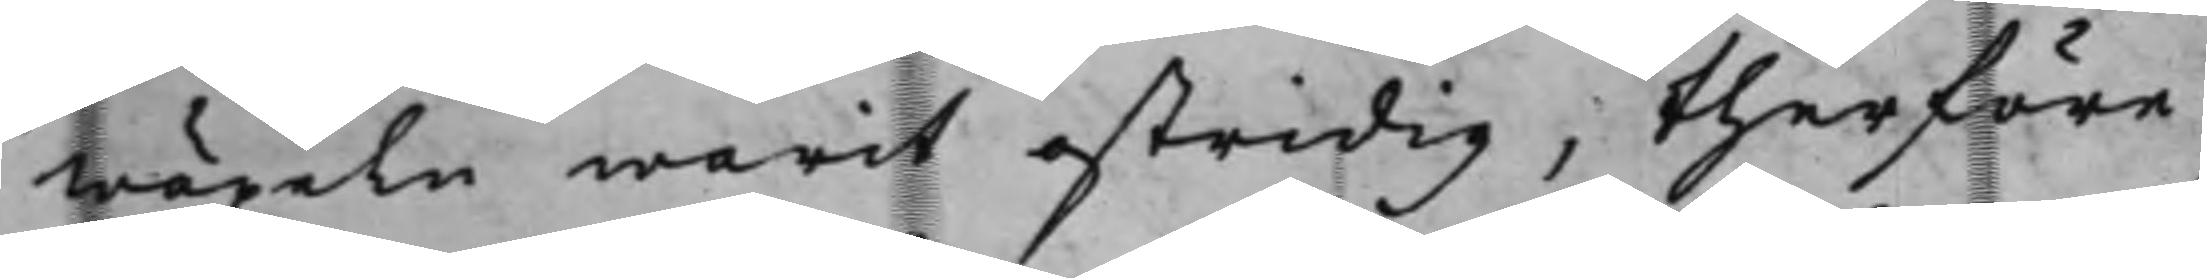wäxeln warit ostridig, therföre
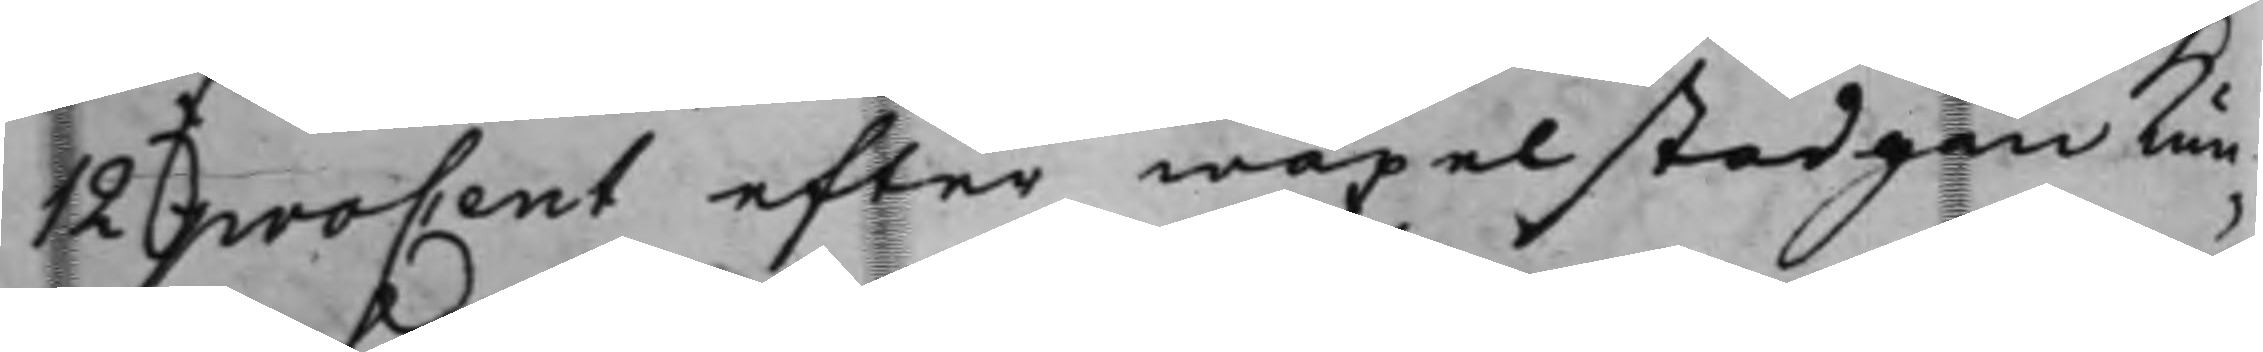12 proCent efter wäxelstadgan kun¬
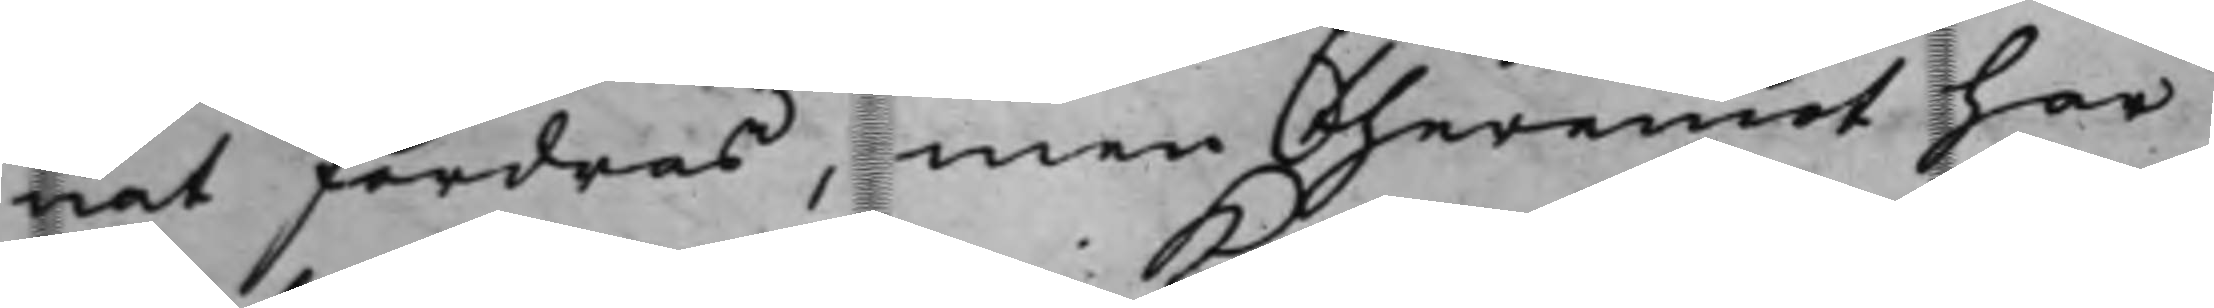nat fordras, men theremot har
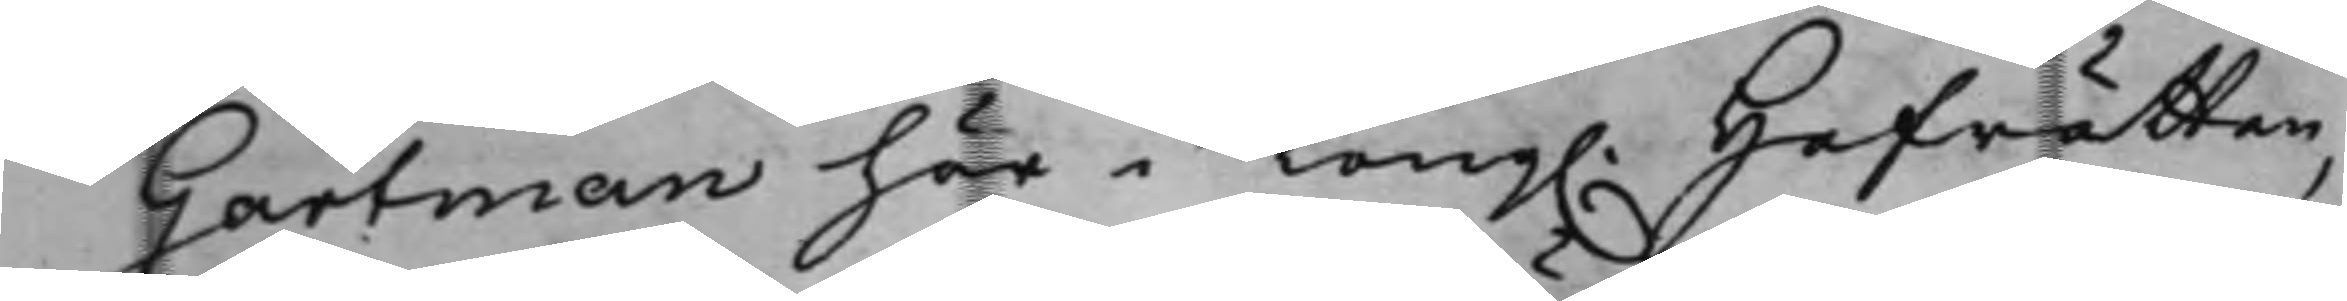Gartman här i Kong. Hofrätten
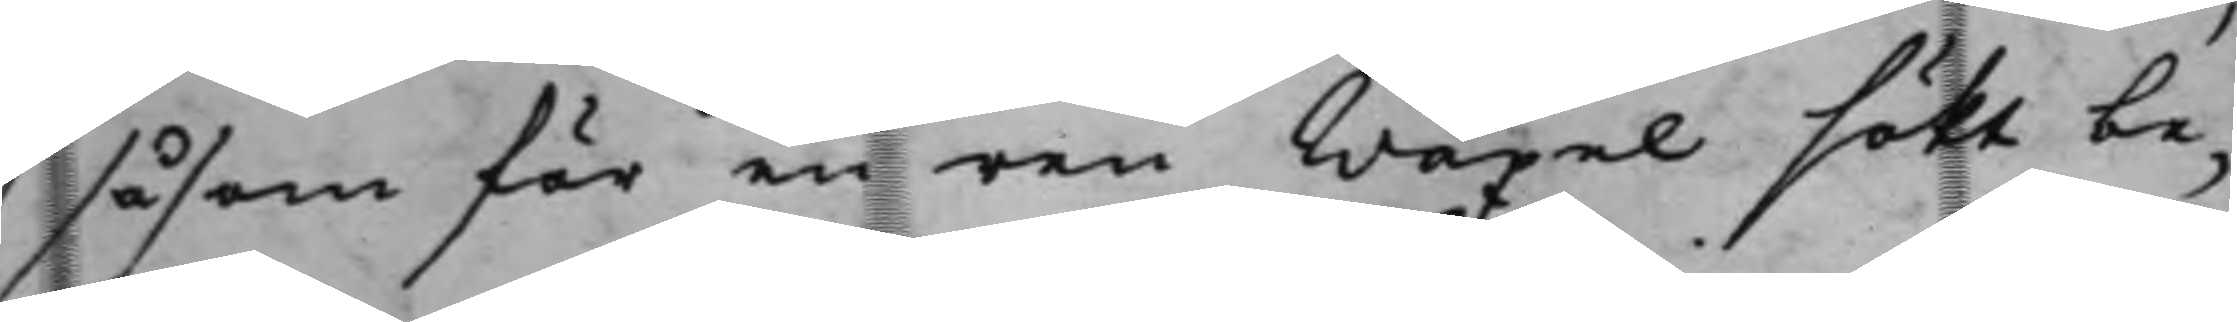såsom för en ren Wäxel sökt be¬
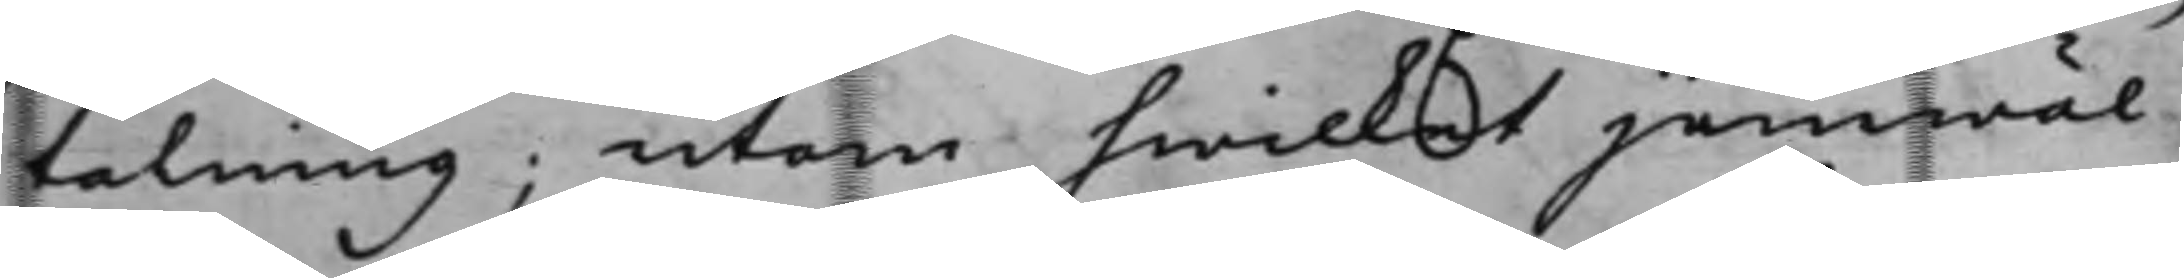talning; utom hwilket jemwäl
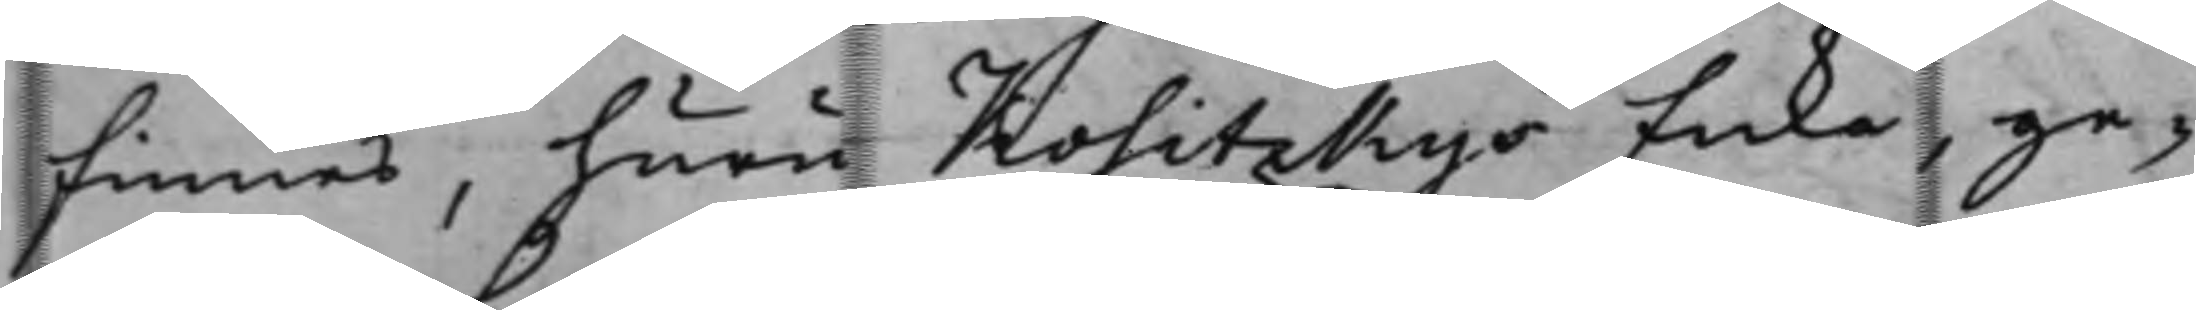finnes, huru Kositzkys Enka, ge¬
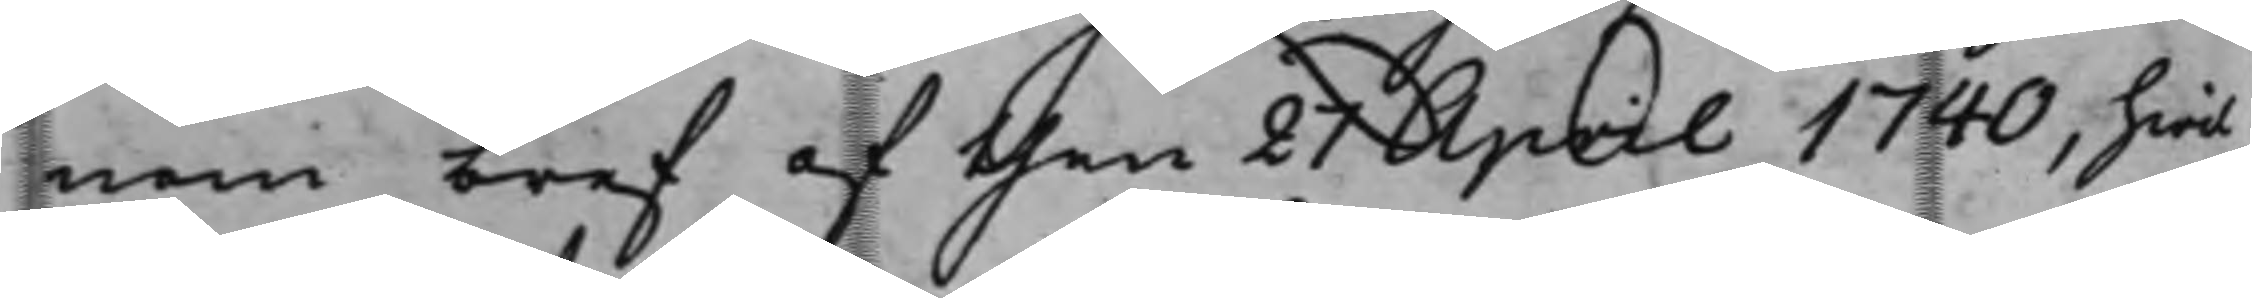nom bref af then 21 April 1740, hwil¬
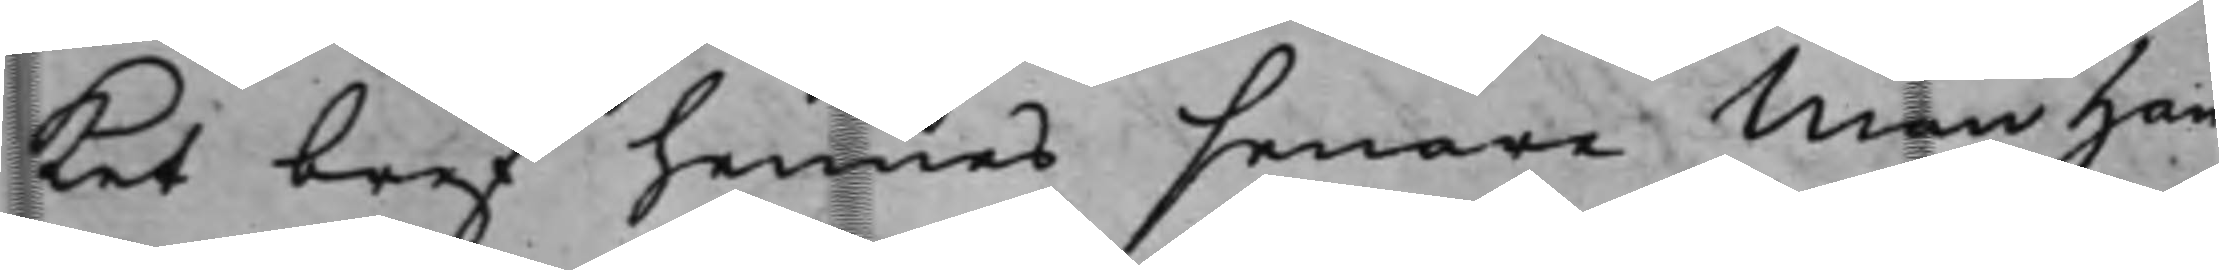ket bref hennes senare Man han¬
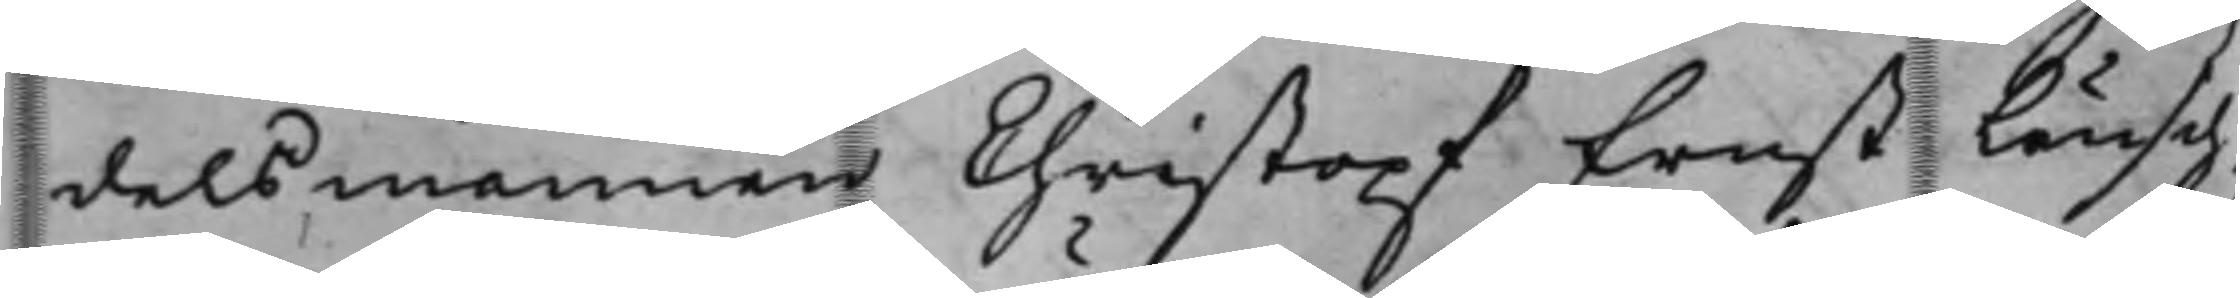delsmannen Christopf Ernst Leusch¬
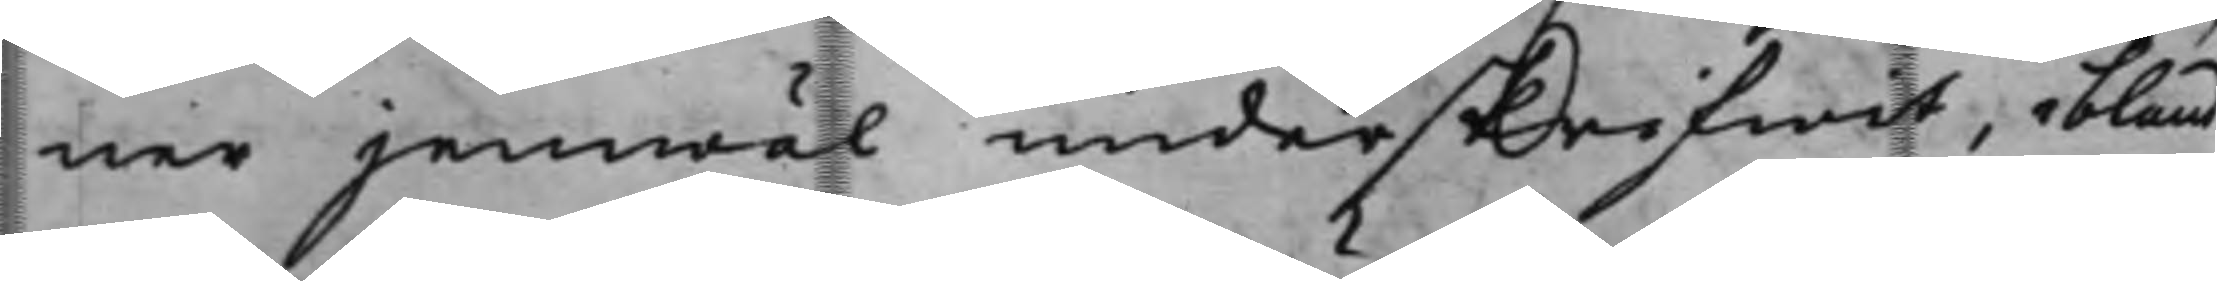ner jemwäl underskrifwit, ibland
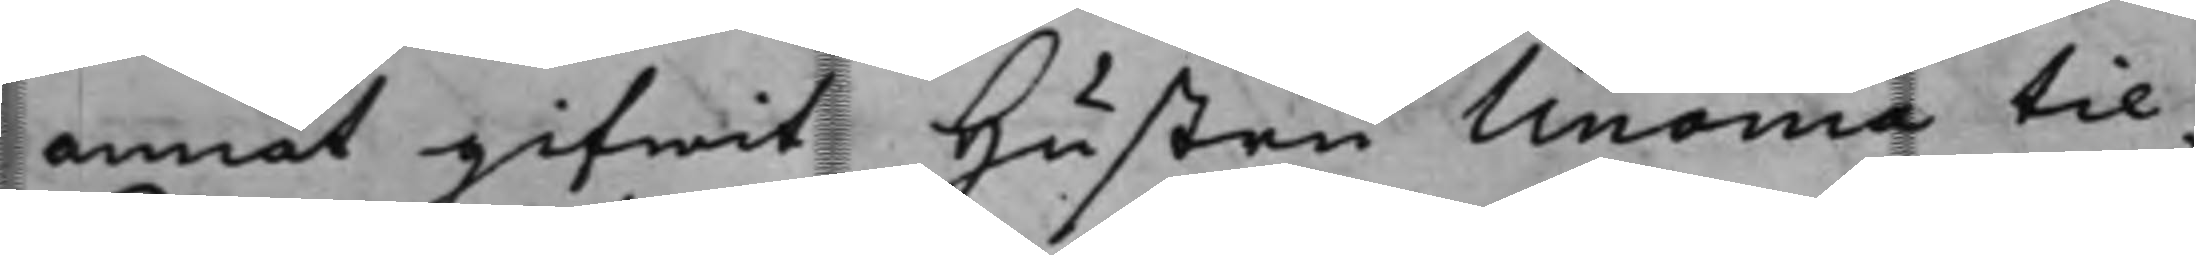annat gifwit Hustru Unonia til¬
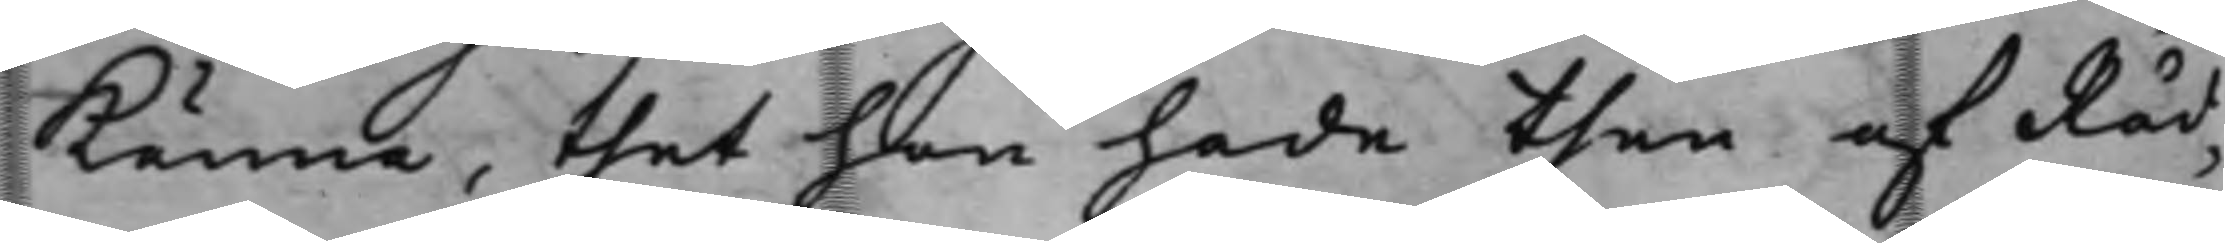känna, thet hon hade then af Råd¬
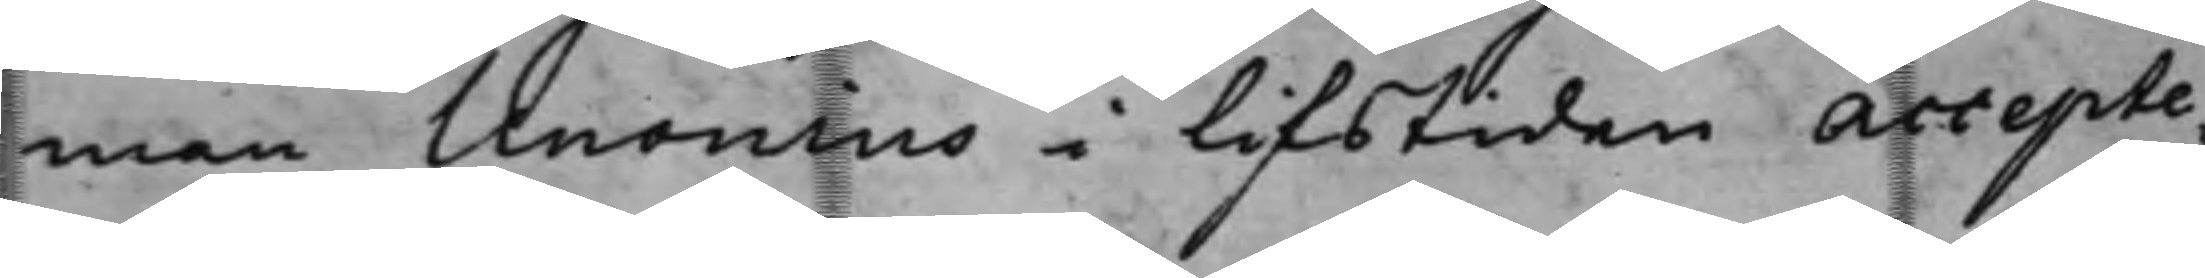man Unonius i lifstiden acctepte¬
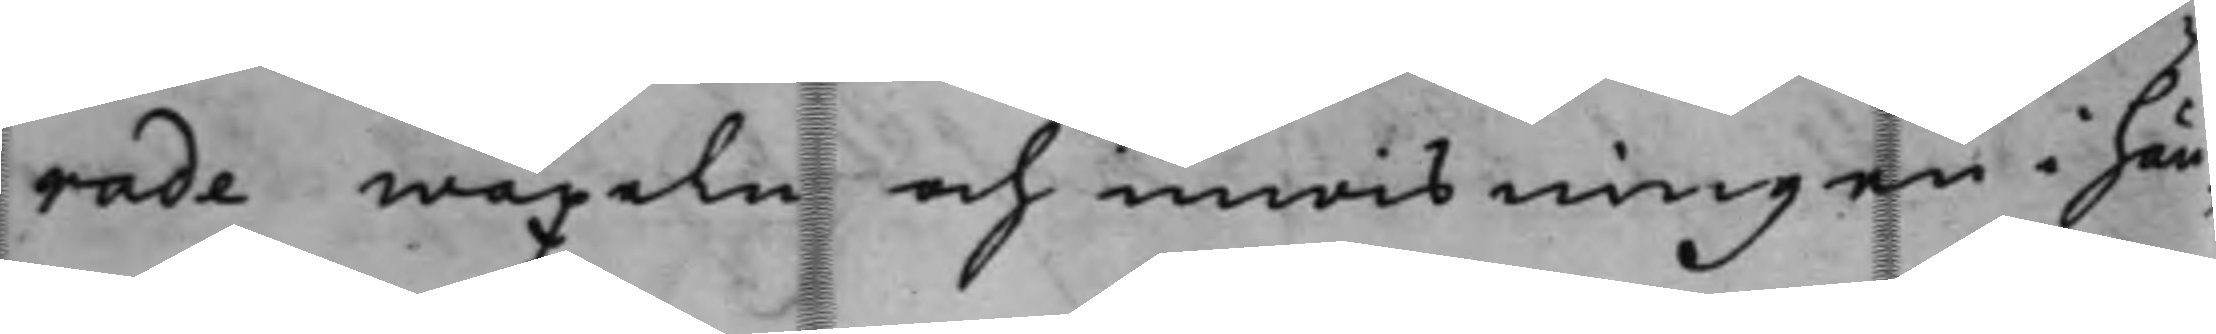rade wäxeln och inwisningen i hän¬
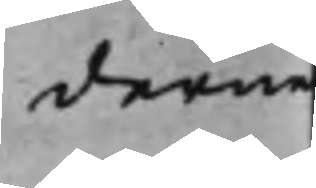derne
